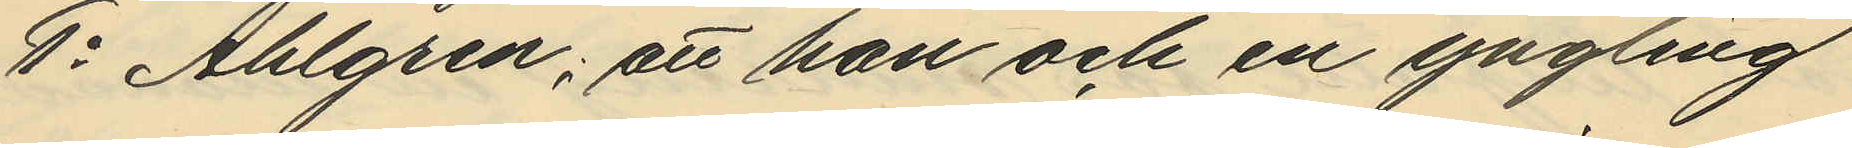1o Ahlgren; att han och en yngling
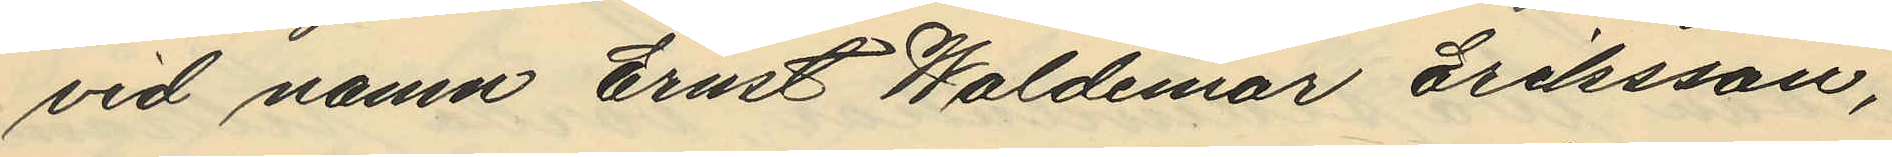vid namn Ernst Waldemar Eriksson,
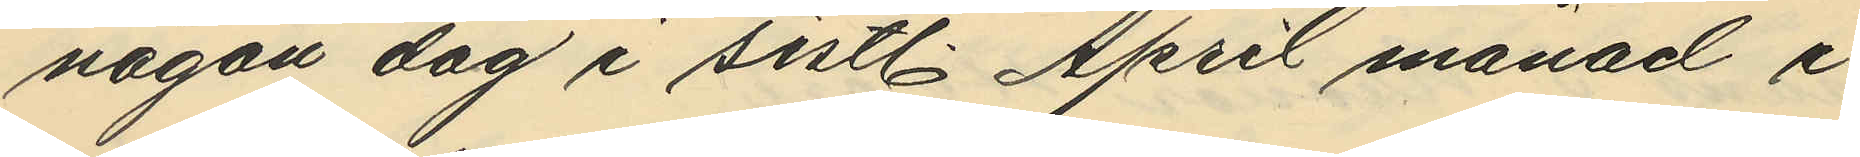någon dag i sistl. April månad i
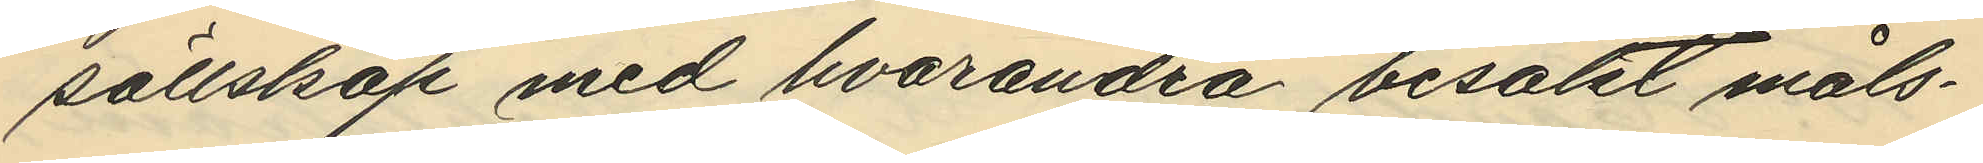sällskap med hvarandra besökt måls¬
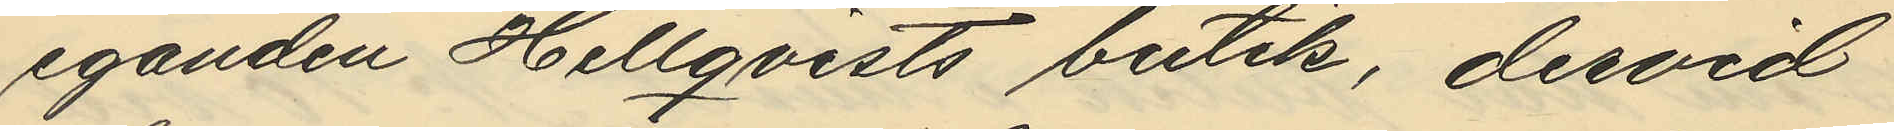eganden Hellqvists butik, dervid
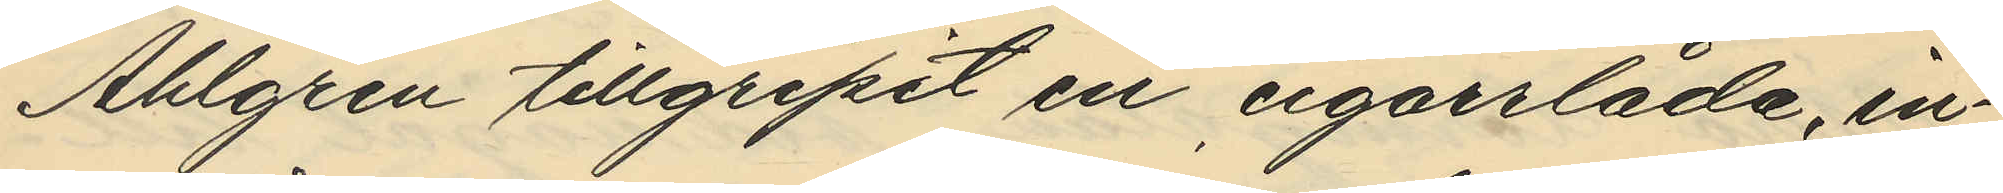Ahlgren tillgripit en cigarrlåda, in¬
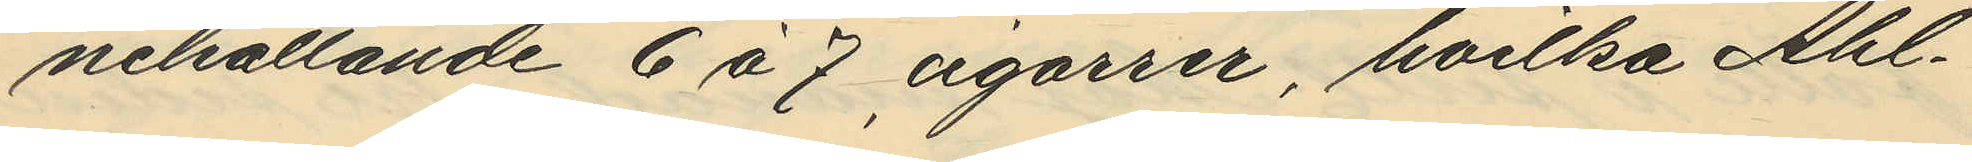nehållande 6 á 7 cgarrer, hvilka Ahl¬
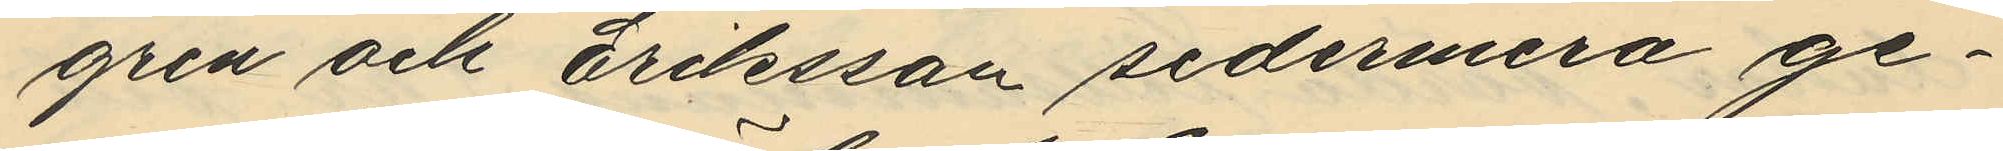gren och Eriksson sedermera ge¬
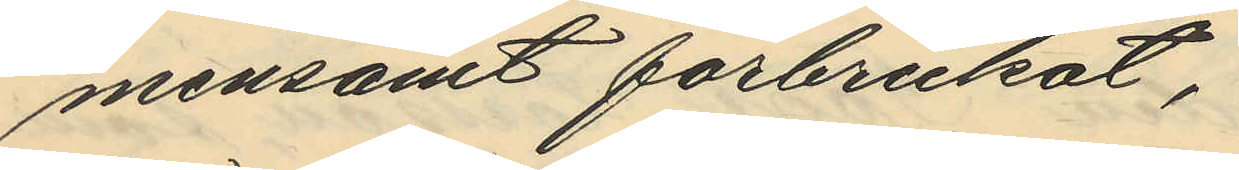mensamt förbrukat,
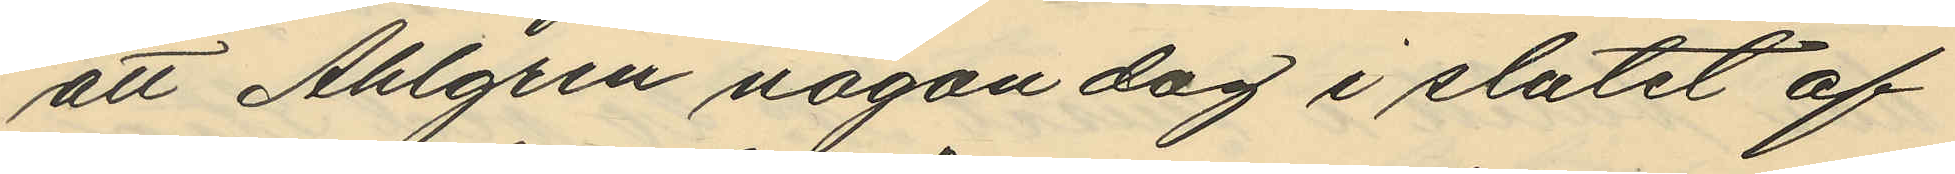att Ahlgren någon dag i slutet af
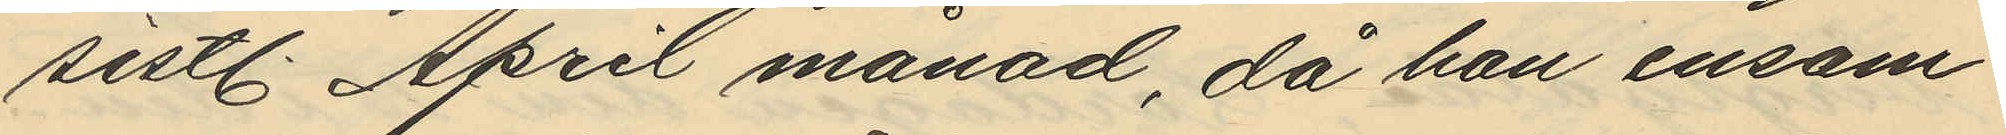sistl. April månad, då han ensam
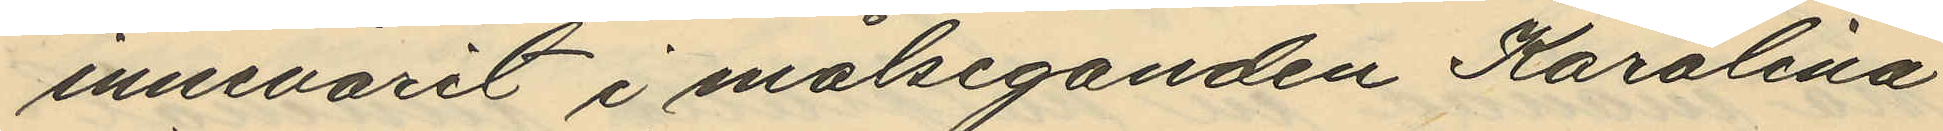innevarit i målseganden Karolina
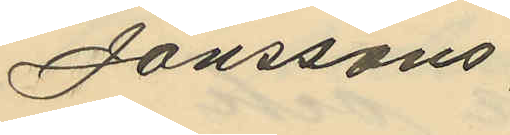Janssons
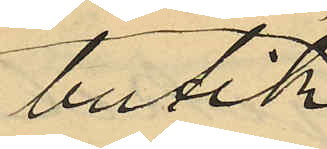butik
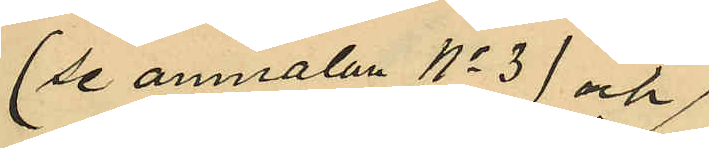(se anmälan No 3) och
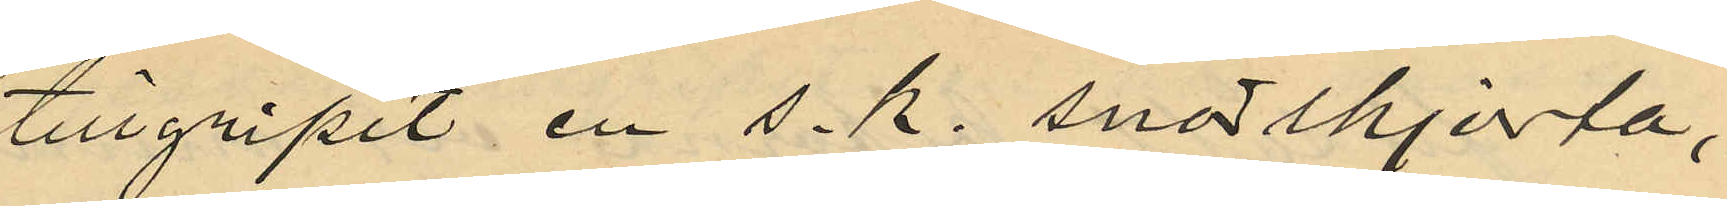tillgripit en s.k. snörskjorta,
